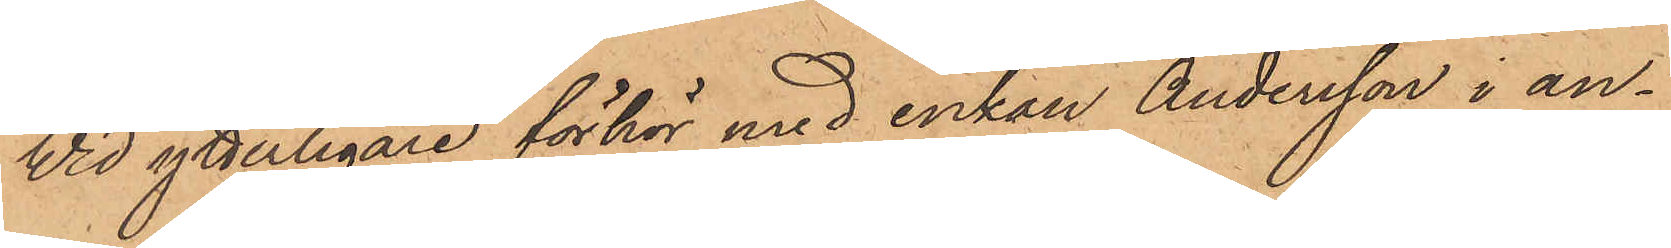Vid ytterligare förhör med enkan Andersson i an¬
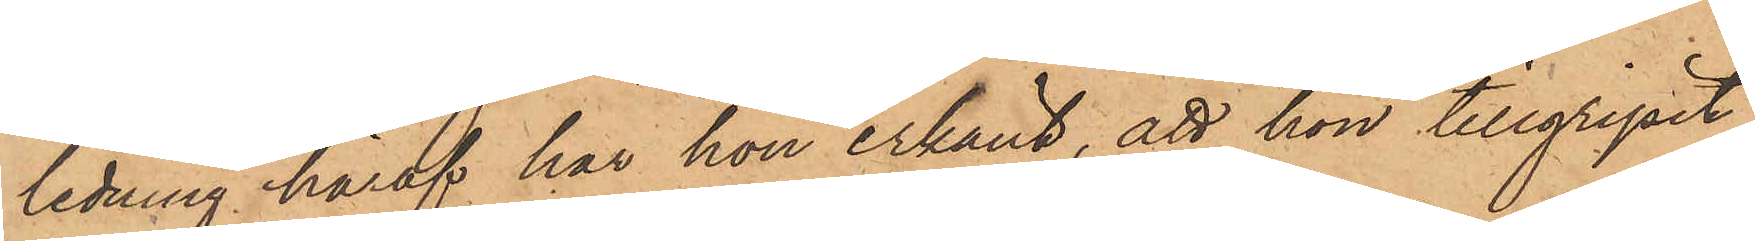ledning häraf har hon erkänt, att hon tillgripit
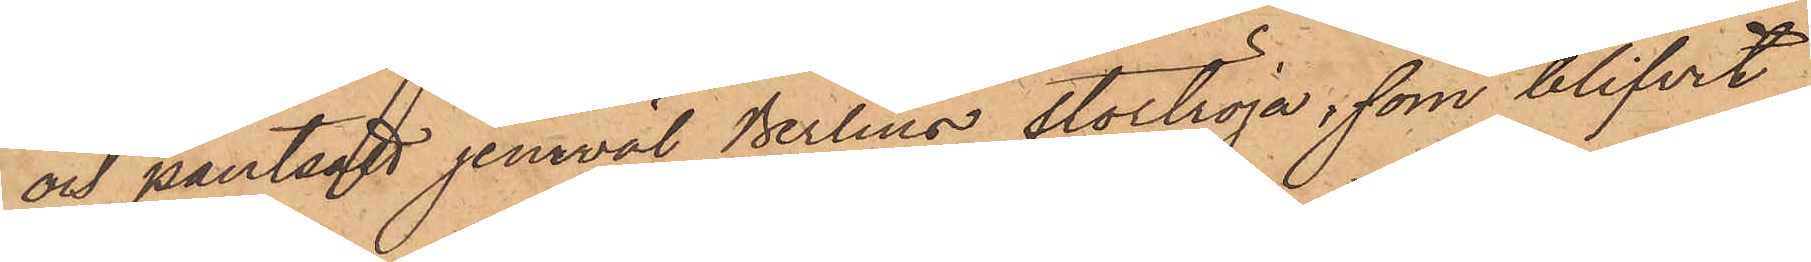och pantsatt jemväl Berlins stortröja, som blifvit
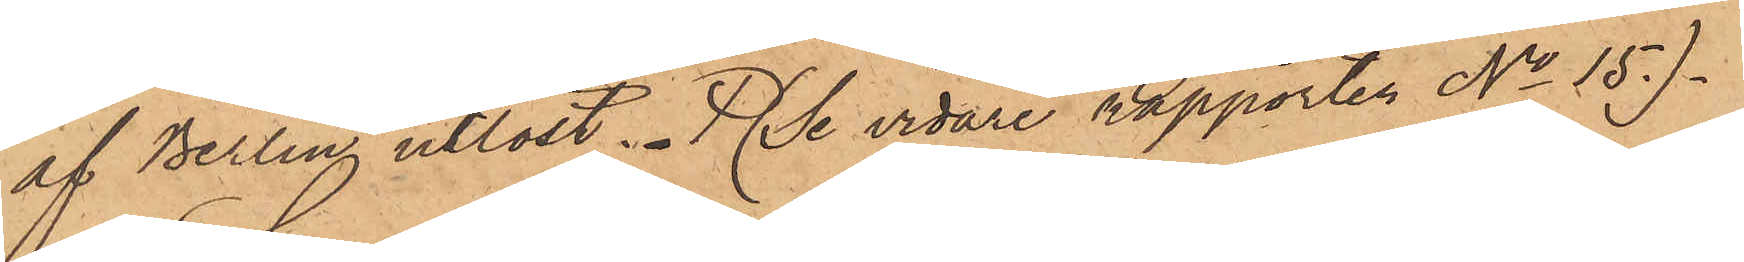af Berling utlöst. Se vidare rapporten No 157.
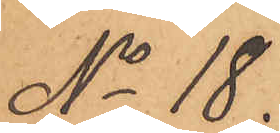No 18.
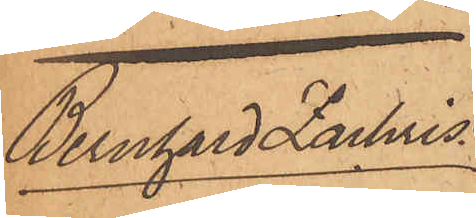Bernhard Zachris¬
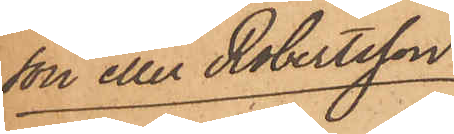son eller Robertsson
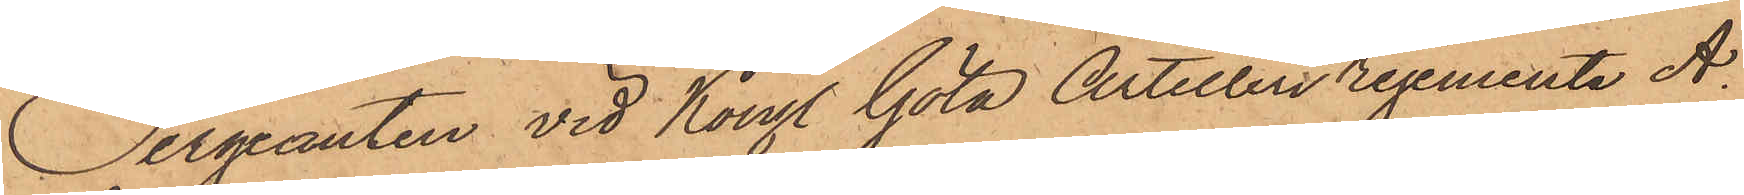Sergeanten vid Kongl Göta Artillei regemente A.
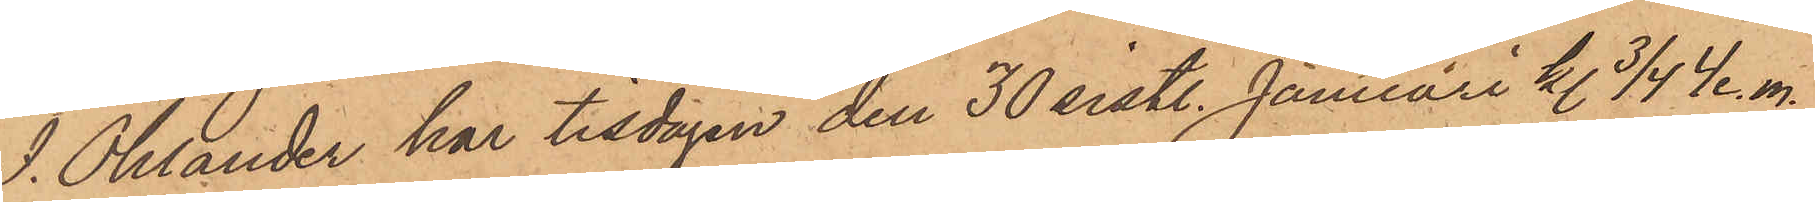I. Öhlander har tisdagen den 30 sistl. Januari kl 3/4 4 e. m.
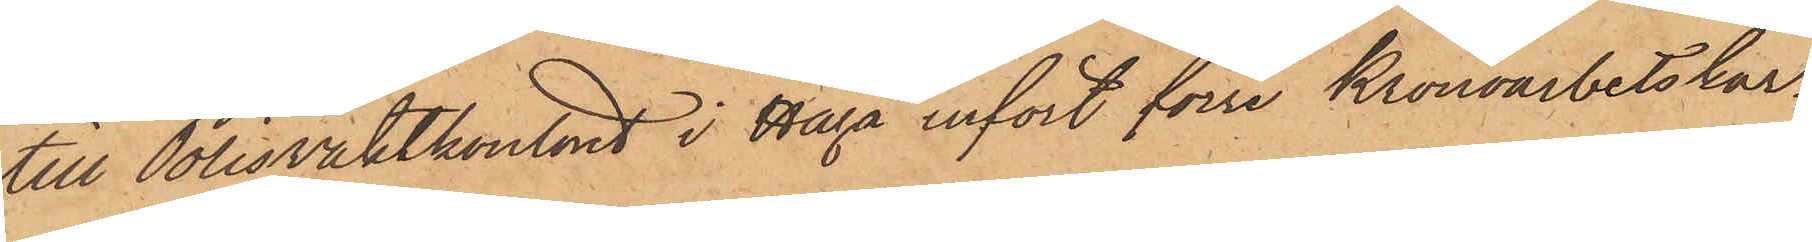till Polisvaktkontoret i Haga infört förre Kronoarbetskar¬
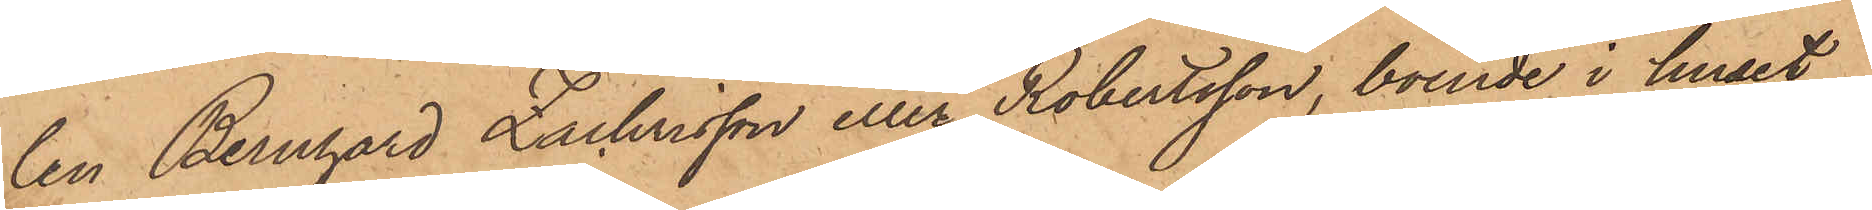len Bernhard Zachrisson eller Robertsson, boende i huset
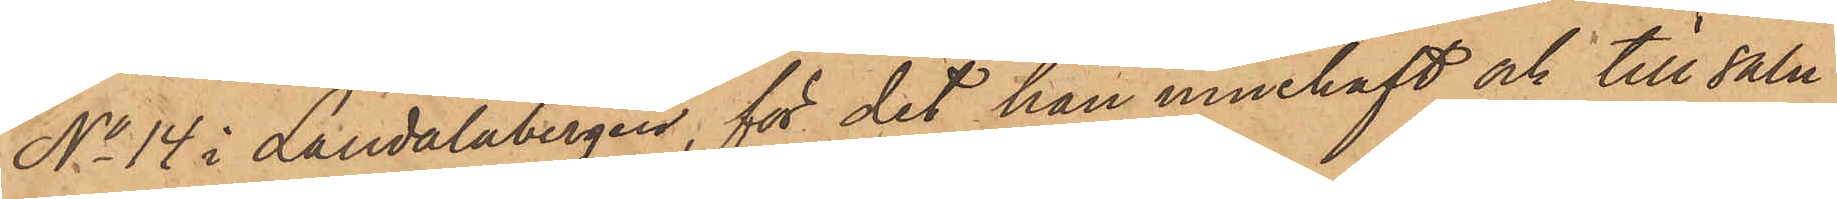No 14 i Landalabergen, för det han innehaft och till salu
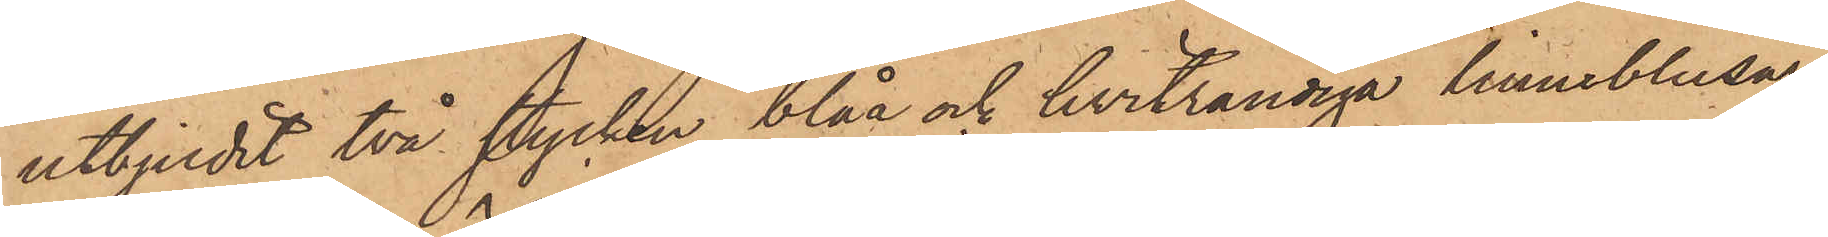utbjudit två stycken blåa och hvitrandiga linneblusar,
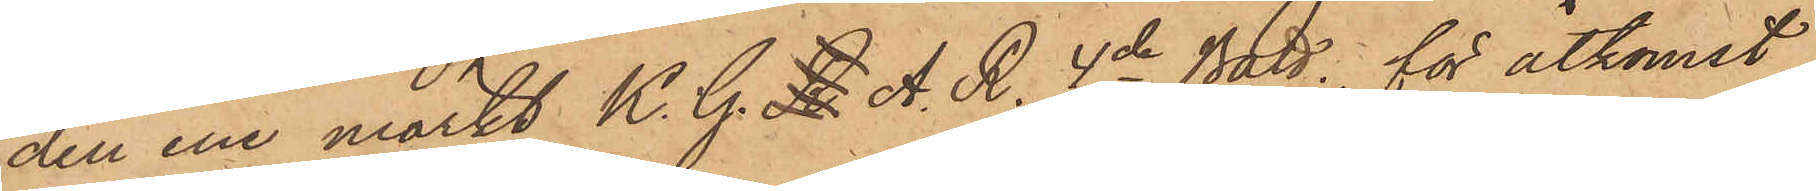den ene märkt K. G. R. A. R. 4de Batt, för åtkomst
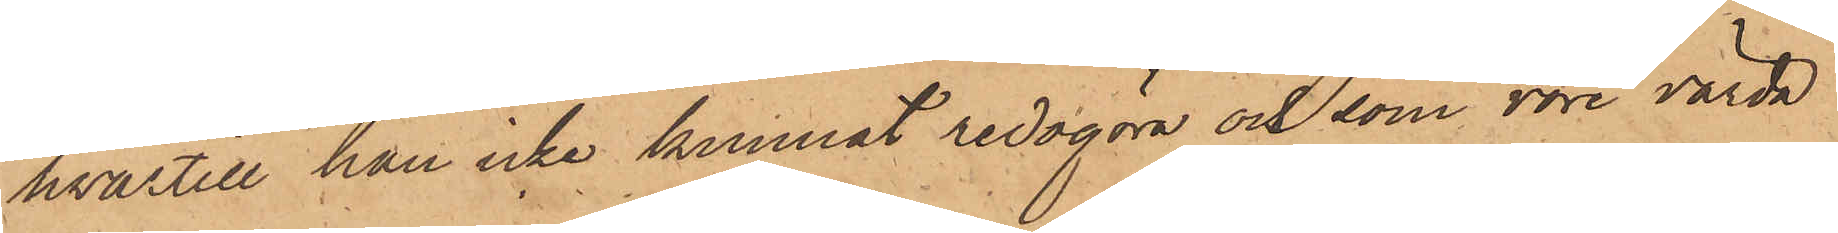hvartill han icke kunnat redogöra och som vore värda
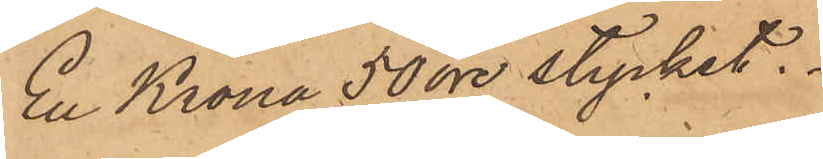En Krona 50 öre stycket.
